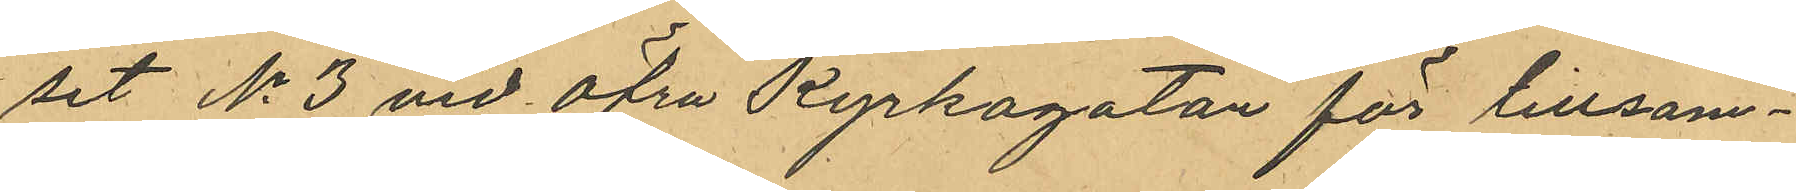set No 3 vid Öfra Kyrkogatan för tillsam¬
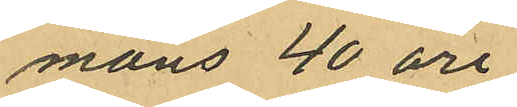mans 40 öre.
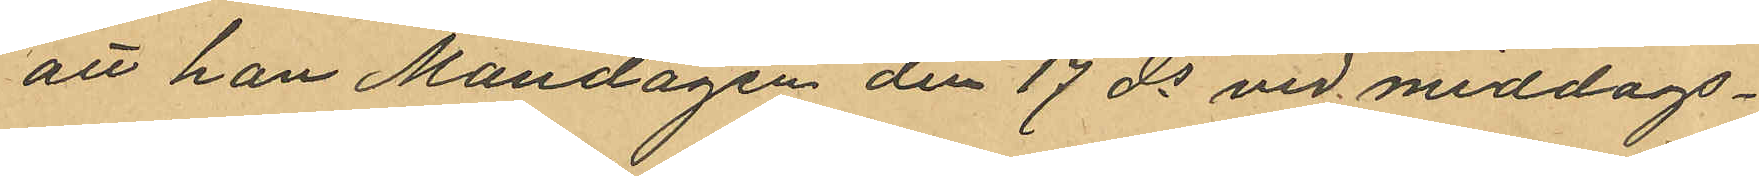att han Måndagen den 17 ds vid middags¬
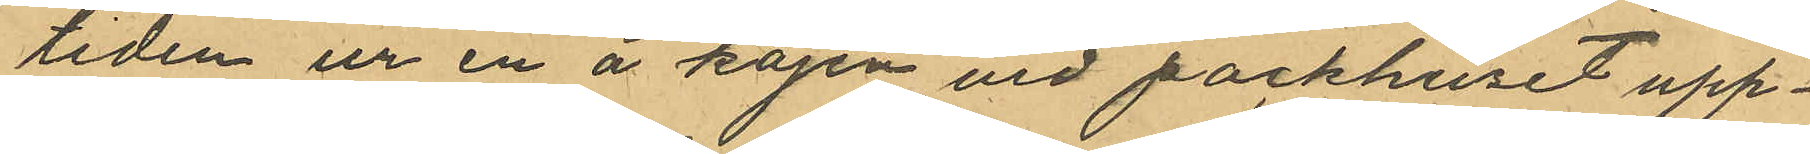tiden ur en å kajen vid packhuset upp¬
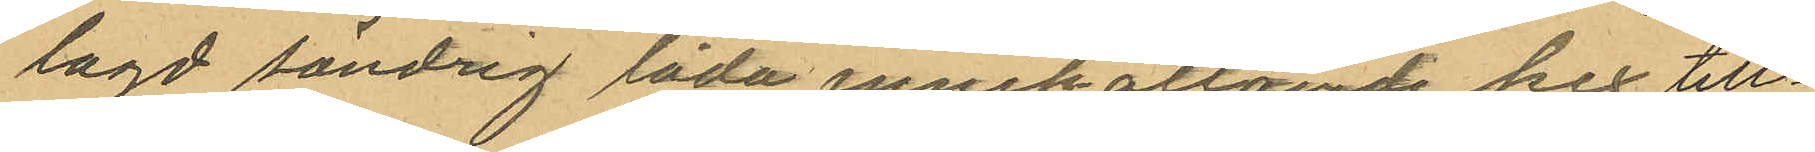lagd söndrig låda innehallande kex till¬
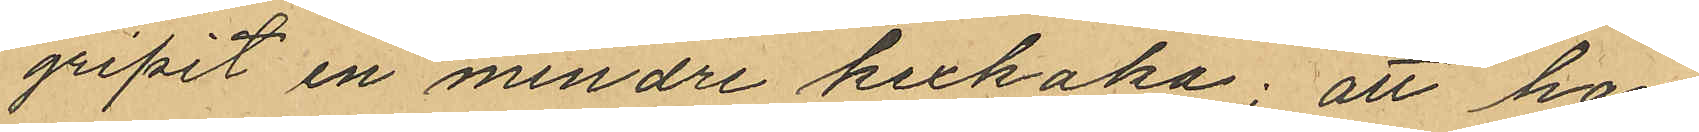gripit en mindre kexkaka; att han
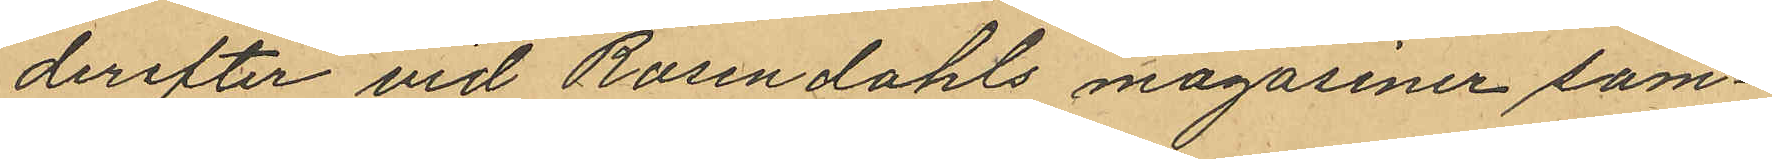derefter vid Rosendahls magasiner sam¬
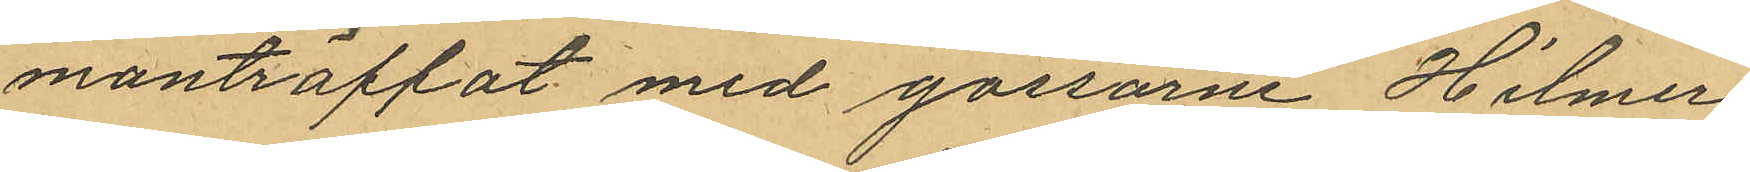manträffat med gossarne Hilmer
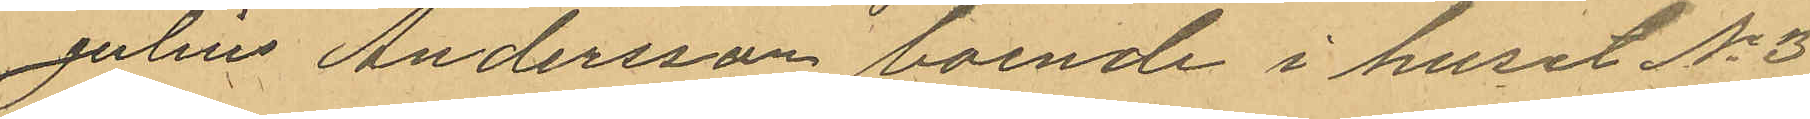Julius Andersson boende i huset No 3
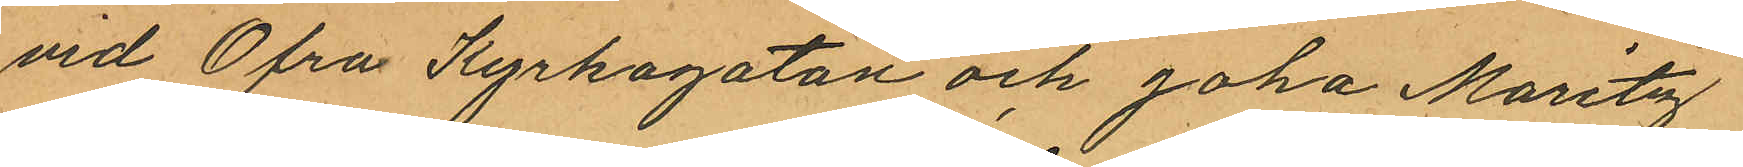vid Öfra Kyrkogatan och Joha Moritz
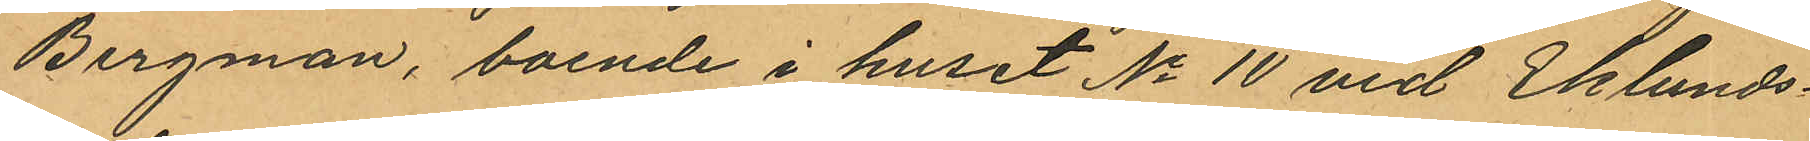Bergman, boende i huset No 10 vid Eklunds¬
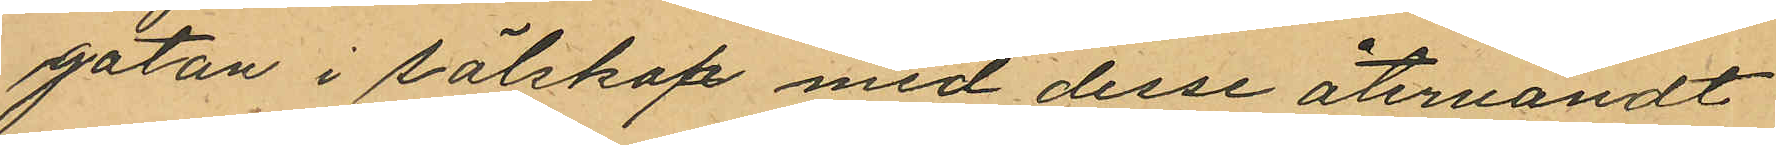gatan i sälskap med desse återvändt
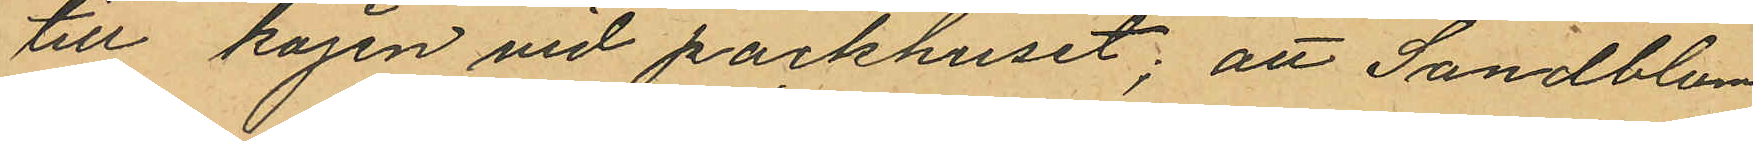till kajen vid packhuset; att Sandblom
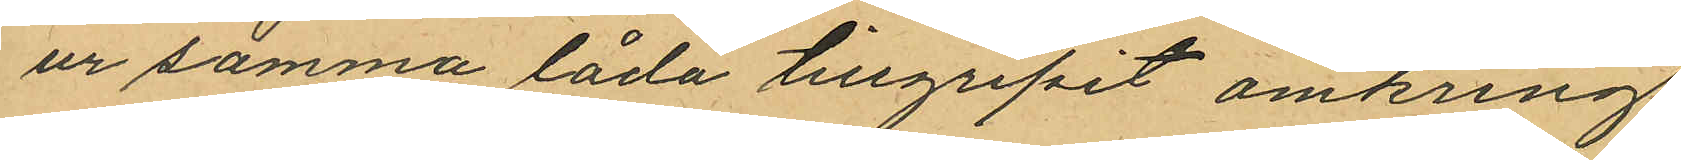ur samma låda tillgripit omkring
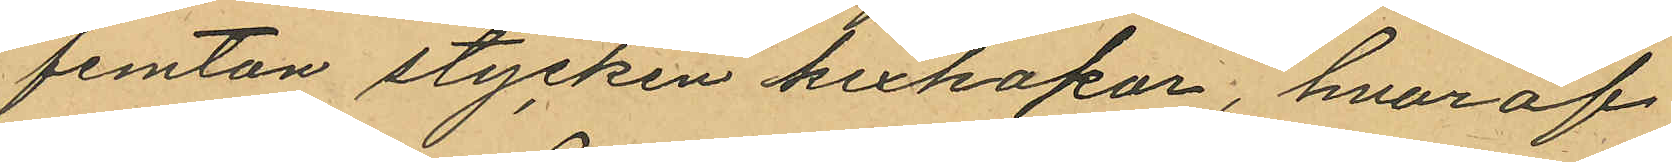femton stycken kexkakor, hvaraf
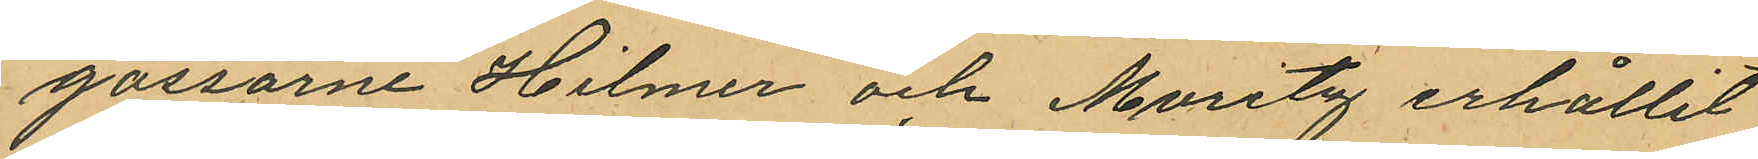gossarne Hilmer och Moritz erhållit
